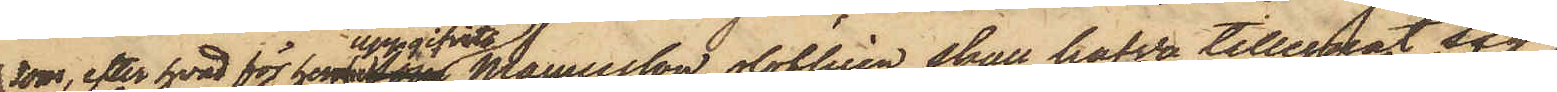som, efter hvad för henne uppgifvits Magnusson olofligen skall hafva tillegnat sig,
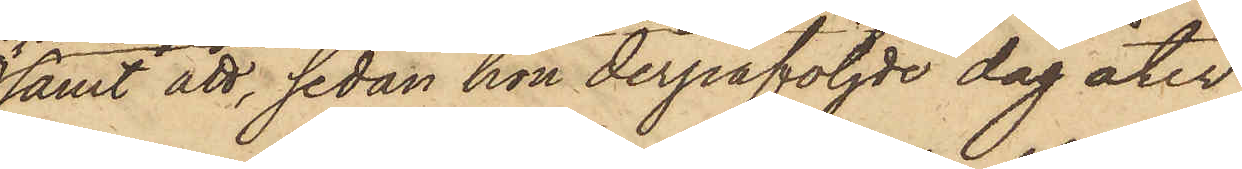samt att, sedan hon derpåföljde dag åter
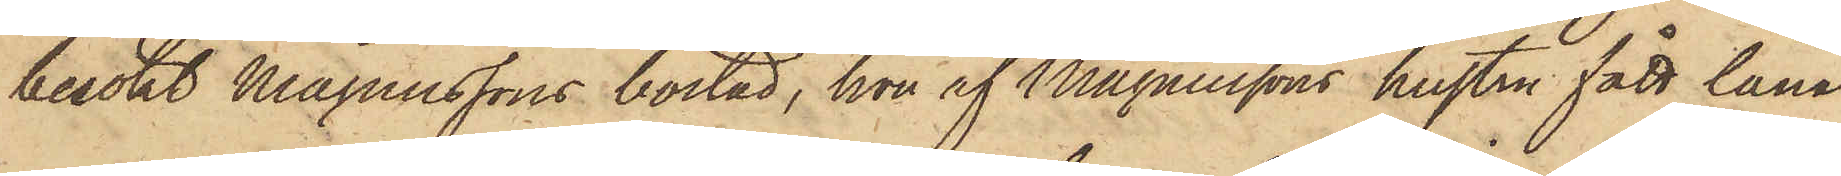besökt Magnussons bostad, hon af Magnussons hustru fått låna
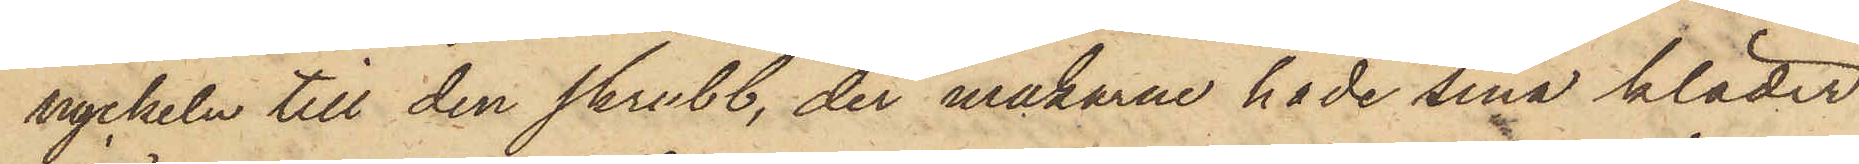nyckeln till den skrubb, der makarna hade sina kläder
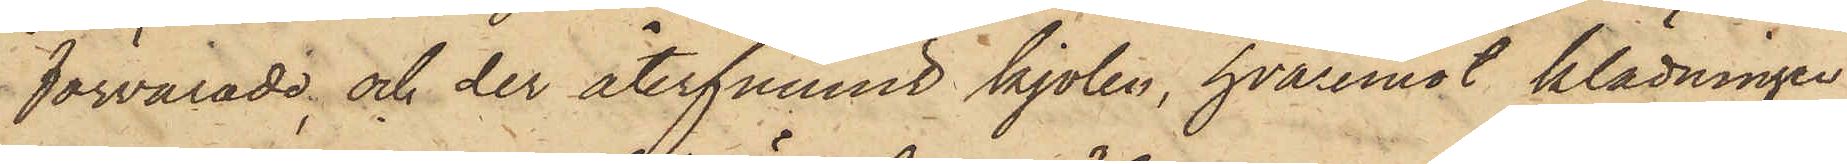förvarade och der återfunnit kjolen, hvaremot klädningen
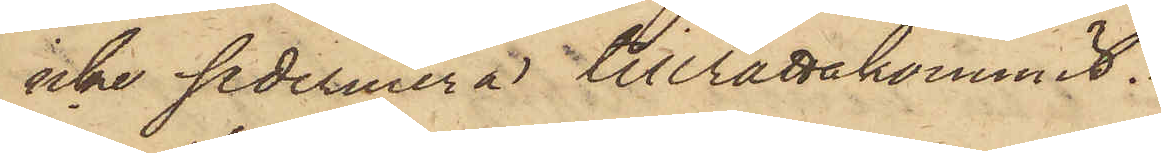icke sedermera tillrättakommit.
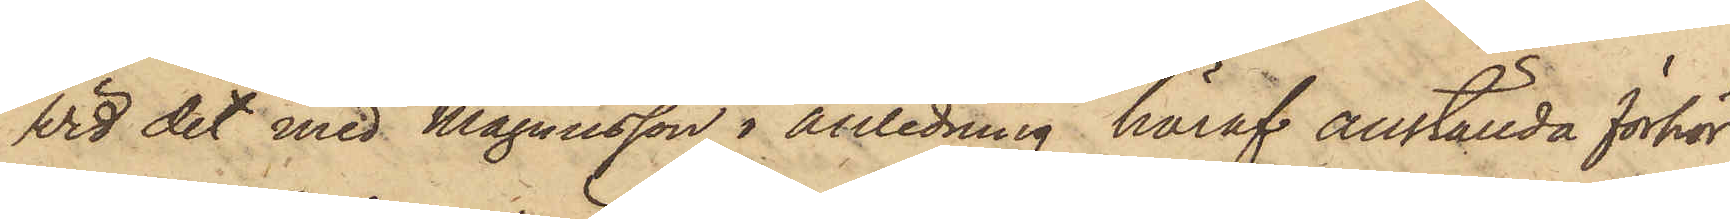Vid det med Magnusson i anledning häraf anställda förhör
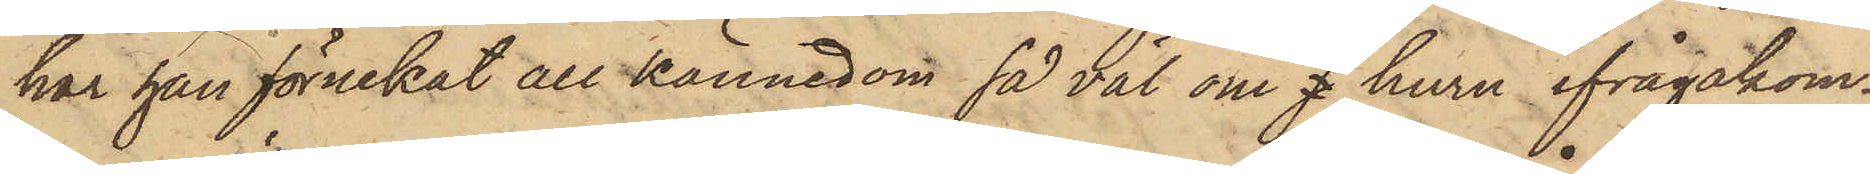har han förnekat all kännedom så väl om f huru ifrågakom¬
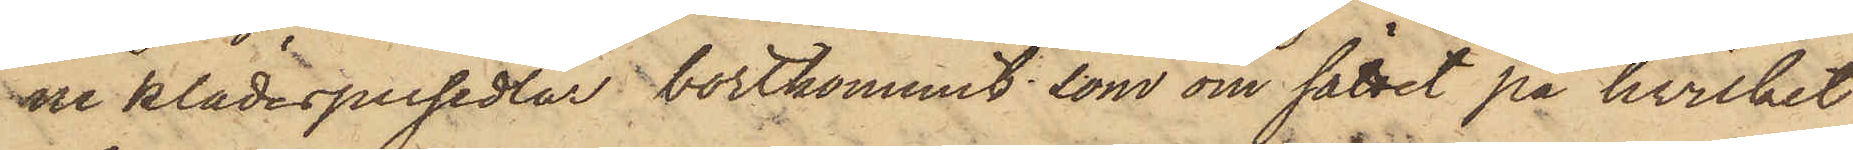ne klädespersedlar bortkommit, som om sättet på hvilket
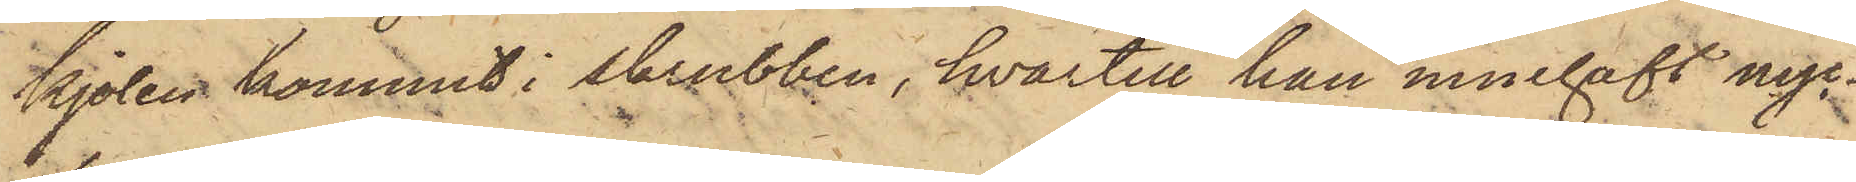kjolen kommit i skrubben, hvartill han innehaft nyc¬
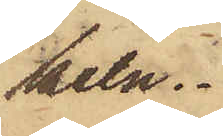keln.
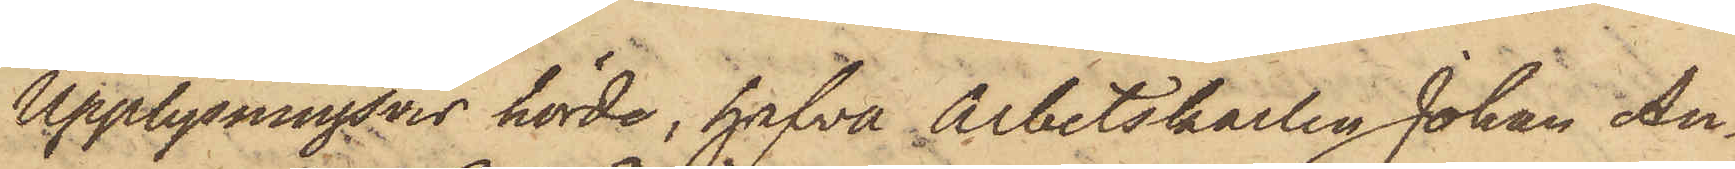Upplysningsvis hörde, hafva Arbetskarlen Johan Au¬
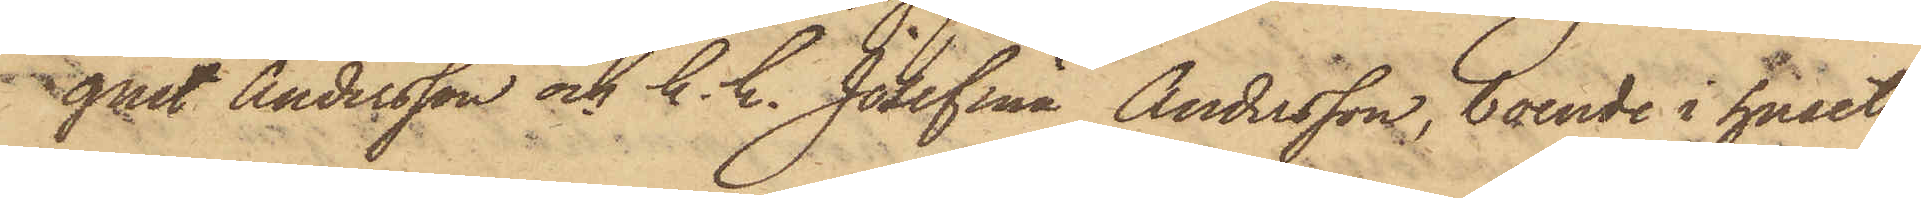gust Andersson och h. h. Josefina Andersson, boende i huset
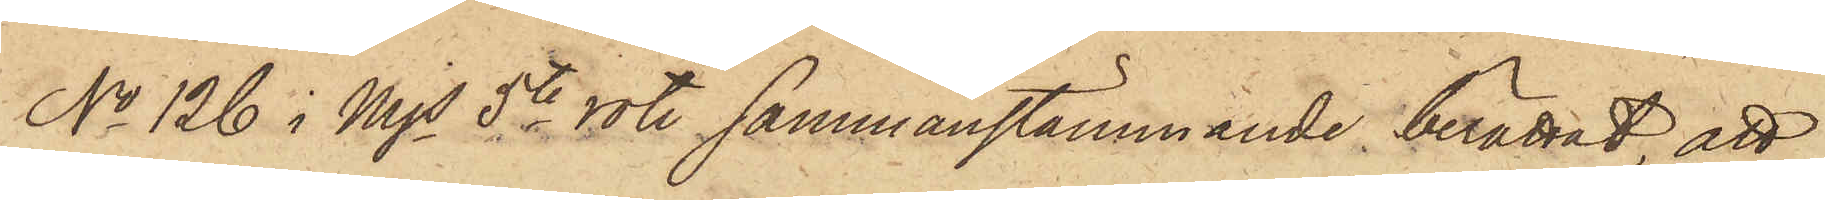No 126 i Mjs 5te rote sammanstämmande berättat, att
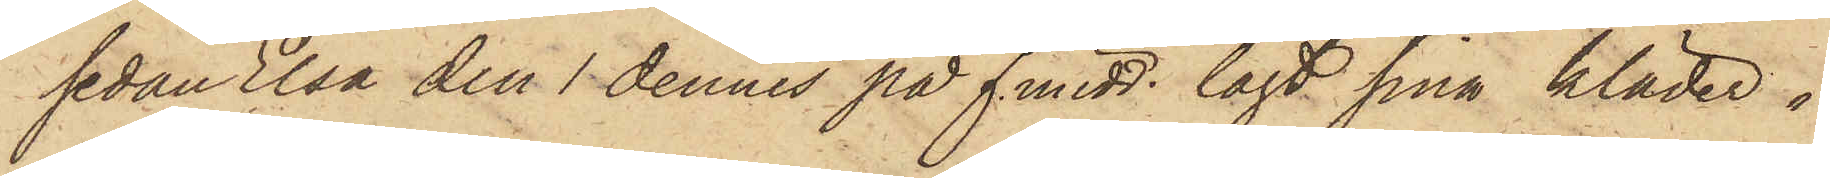sedan Elsa den 1 dennes på f. midd. lagt sina kläder i
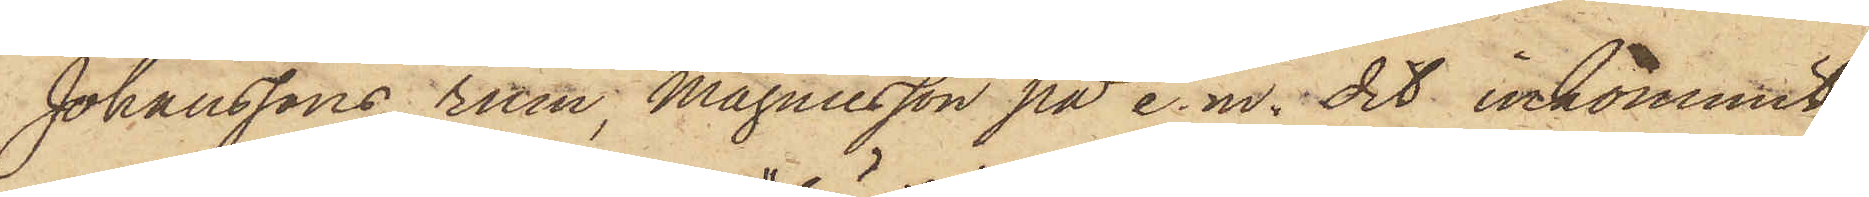Johanssons rum, Magnusson på e.m. dit inkommit
